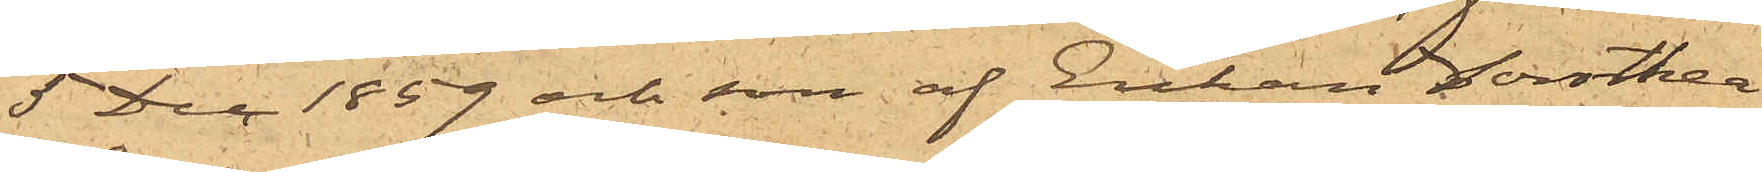5 Dec 1859 och son af Enkan Dorothea
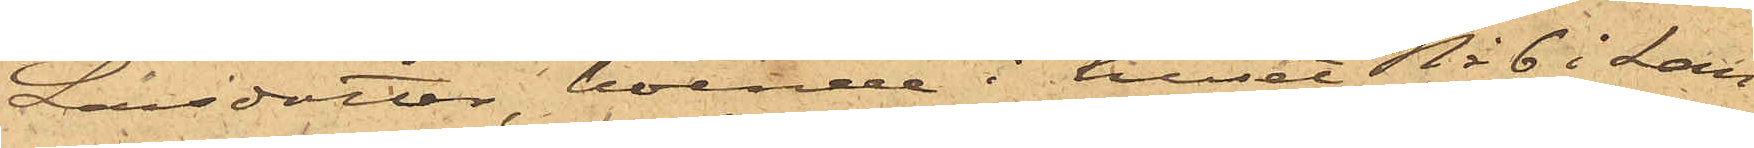Larsdotter, boende i huset No 6 i Lan¬
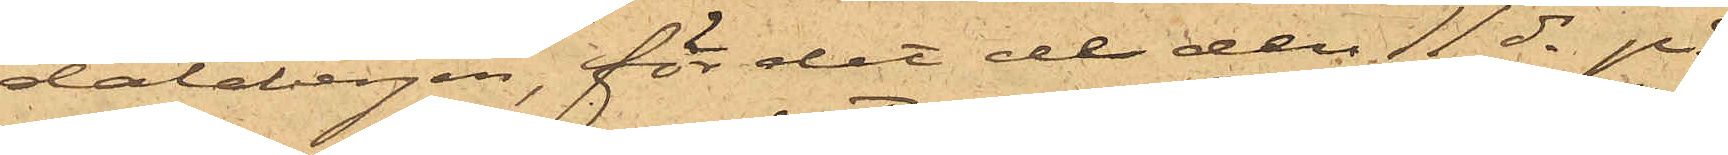dalabergen, för det de den 11 ds på
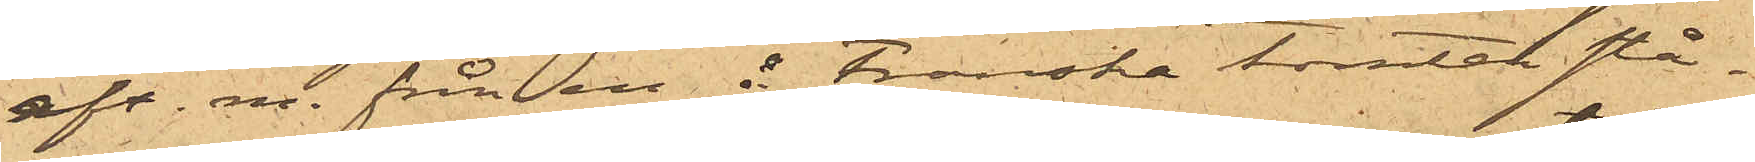eft.m. från en å Franska tomten stå¬
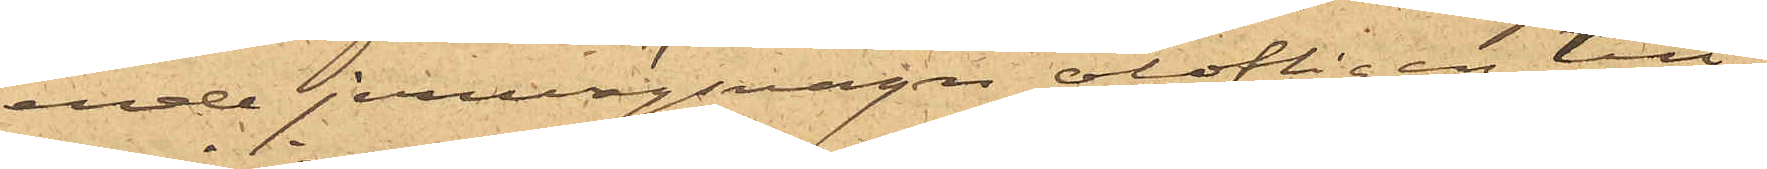ende jernvägsvagn olofligen till¬
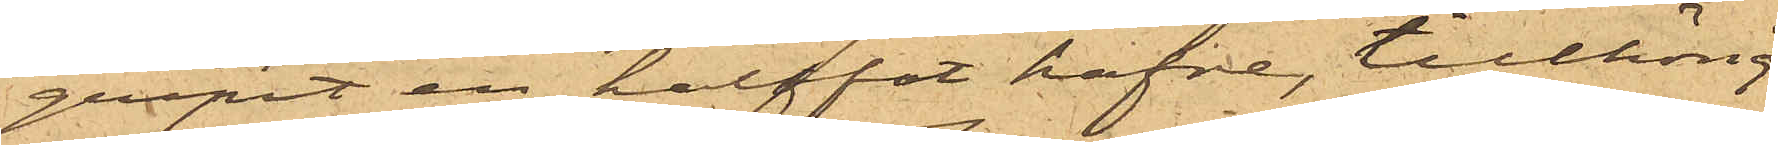gripit en halffot hafre, tillhörig
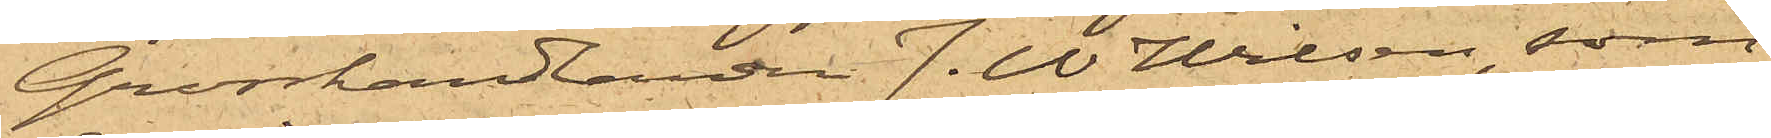Grosshandlanden J. W Wilson, som
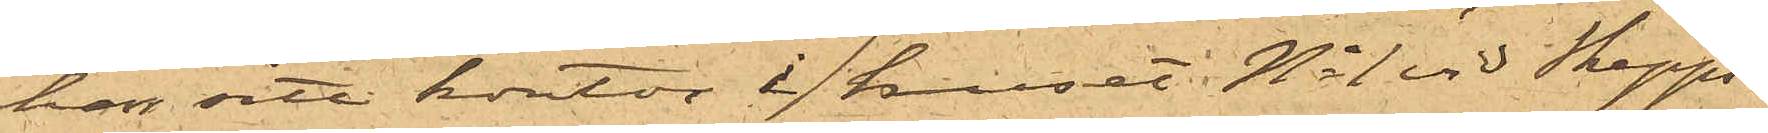han sitt kontor i huset. No 1 vid Skepps¬
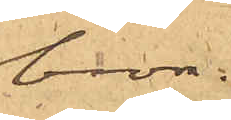bron.
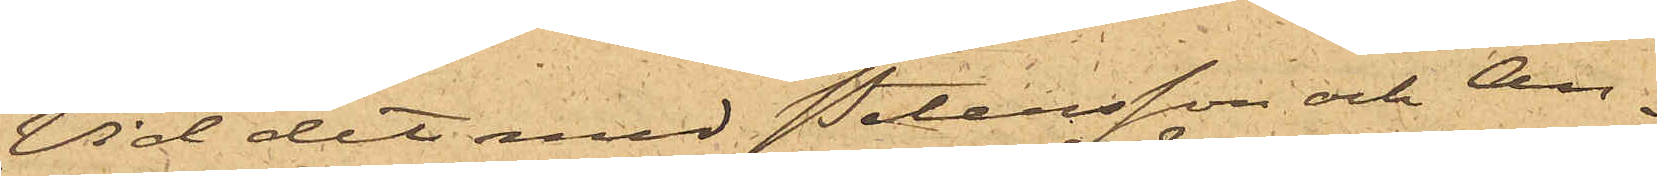Vid det med Petersson och An¬
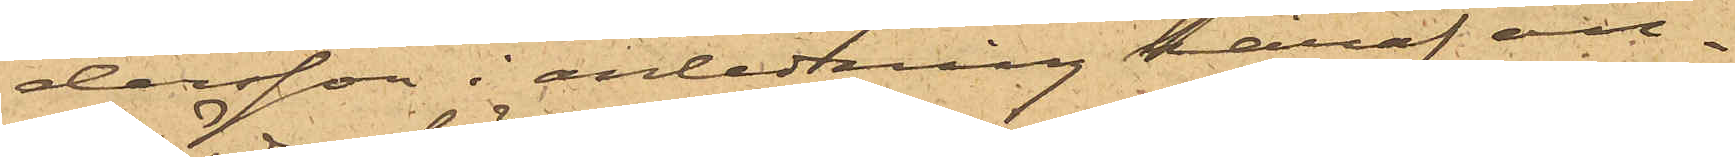dersson i anlednning häraf an¬
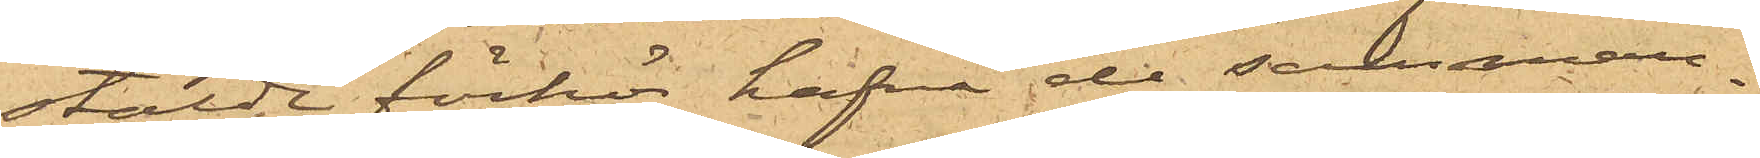stälde förhör hafva de samman¬
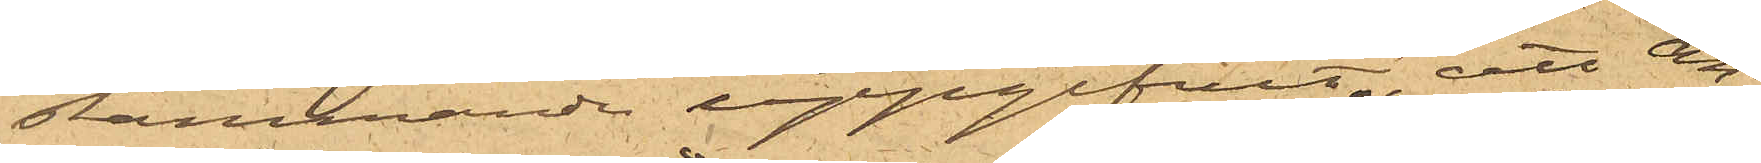stämmande uppgifvit, att An¬
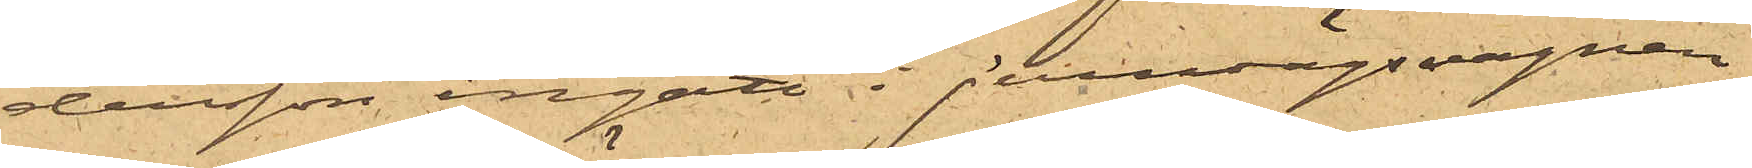dersson ingått i jernvägsvagnen,
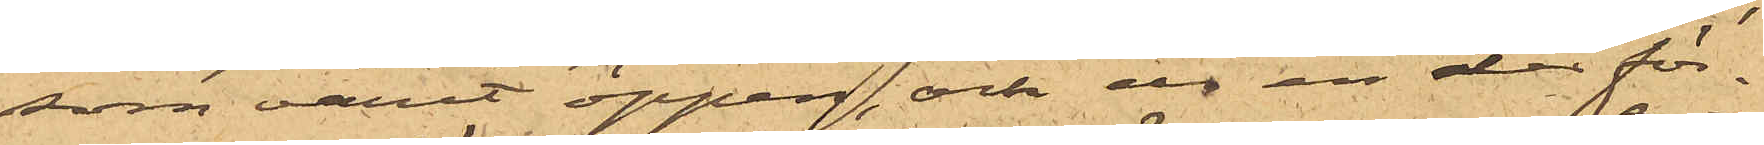som varit öppen, och ur en der för¬
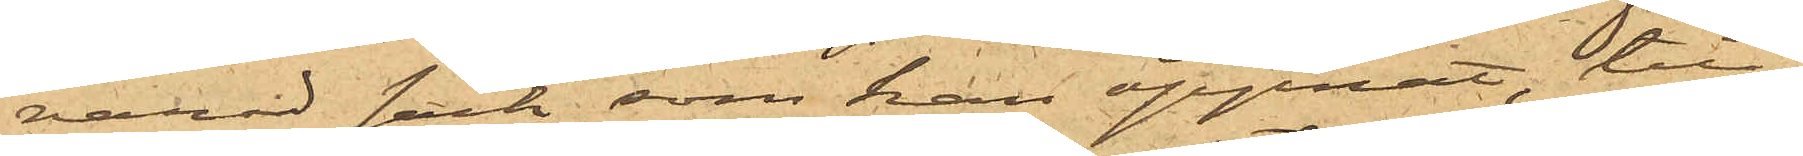varad säck, som han öppnat, till¬
